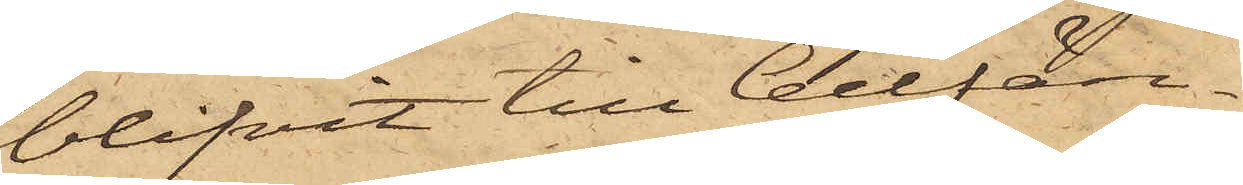blifvit till Cellfän¬
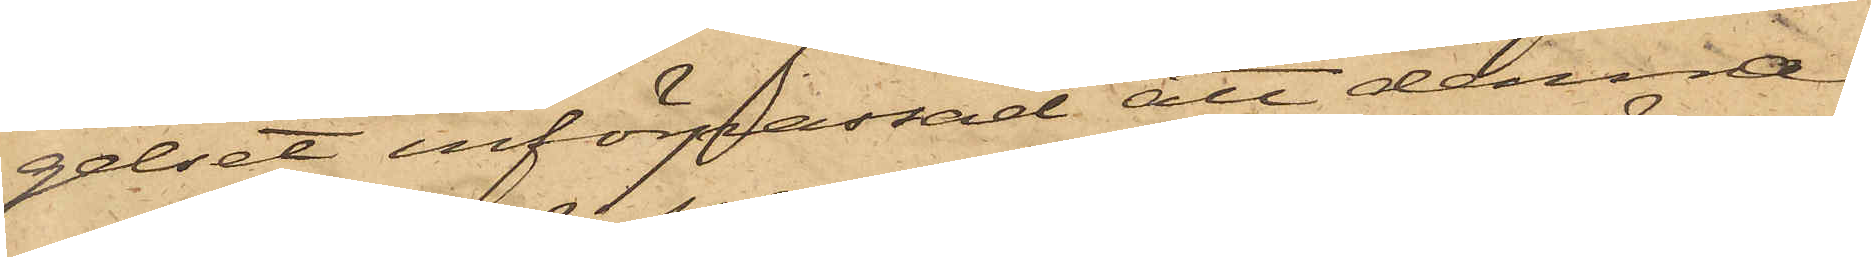gelset införpassad, att denna
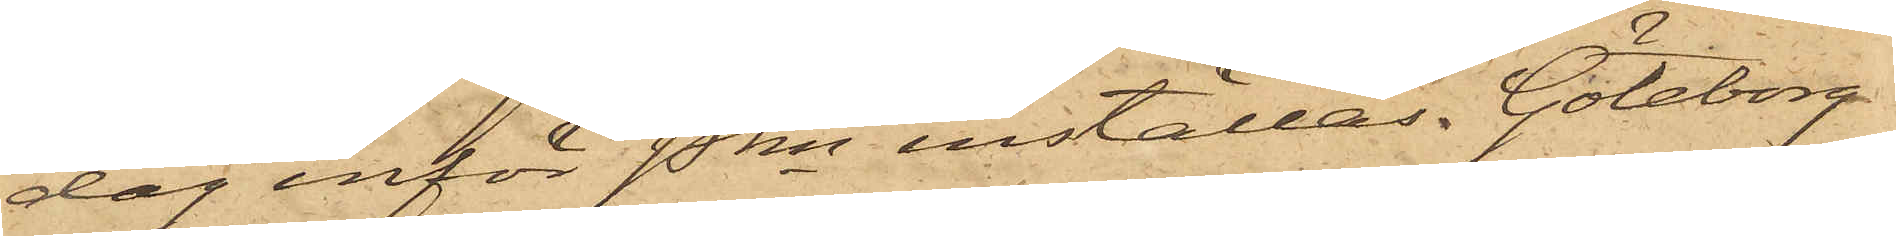dag inför Pkn inställas. Göteborg
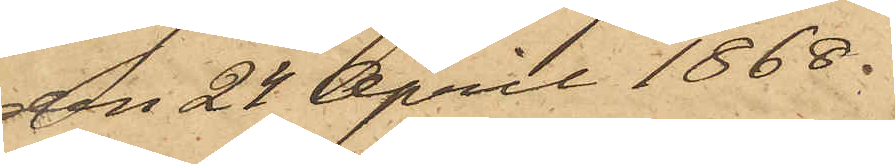den 24 April 1868.
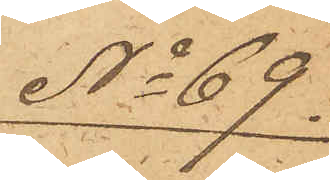No 69.
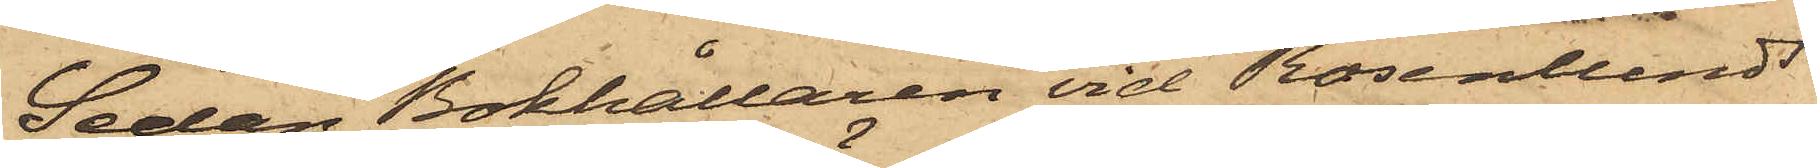Sedan Bokhållaren vid Rosenlunds
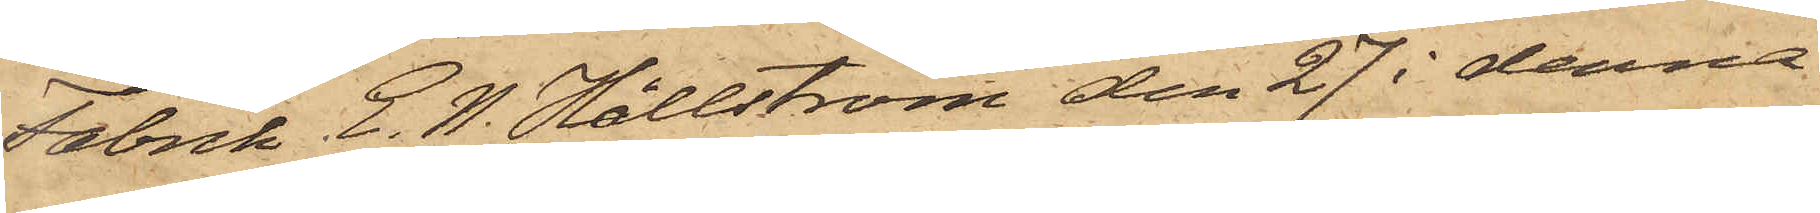Fabrik E. W. Hållström den 27 i denna
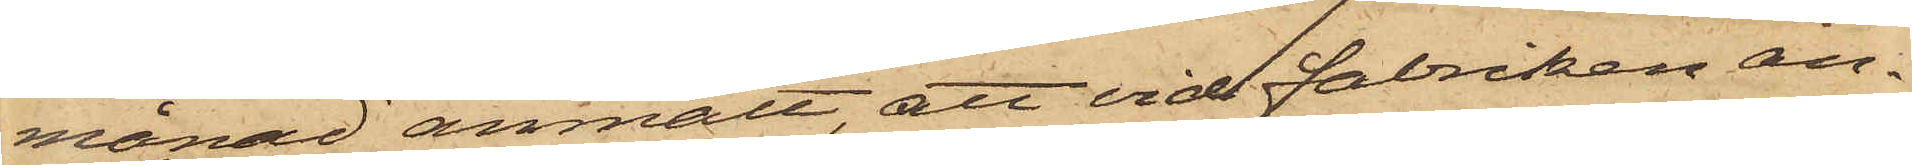månad anmält, att vid Fabriken an¬
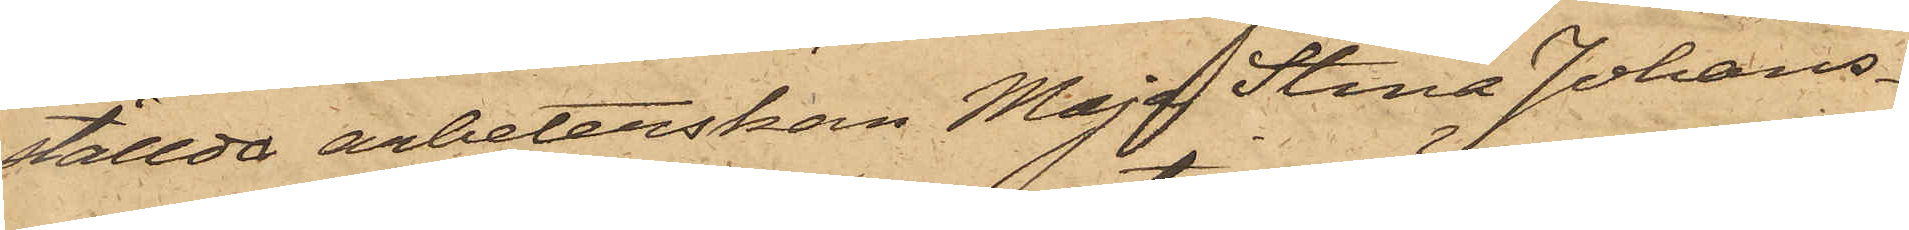ställda arbeterskan Maja Stina Johans¬
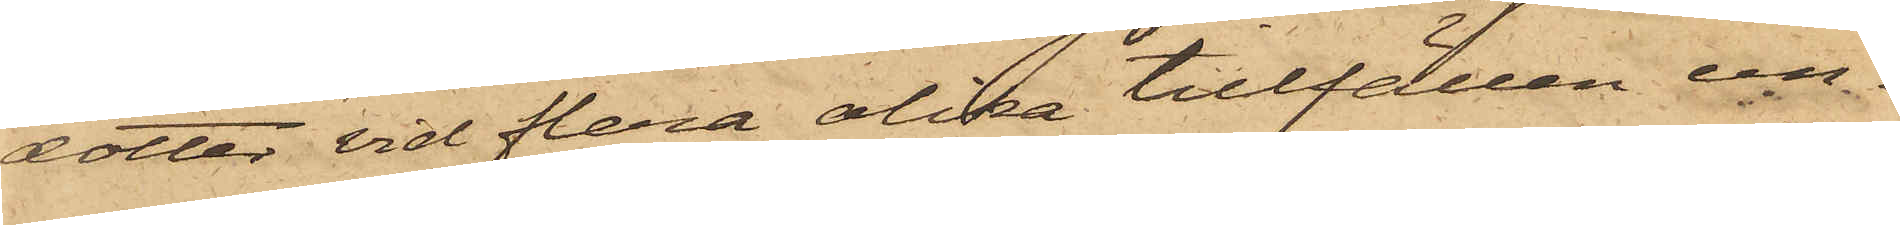dotter vid flera olika tillfällen un¬
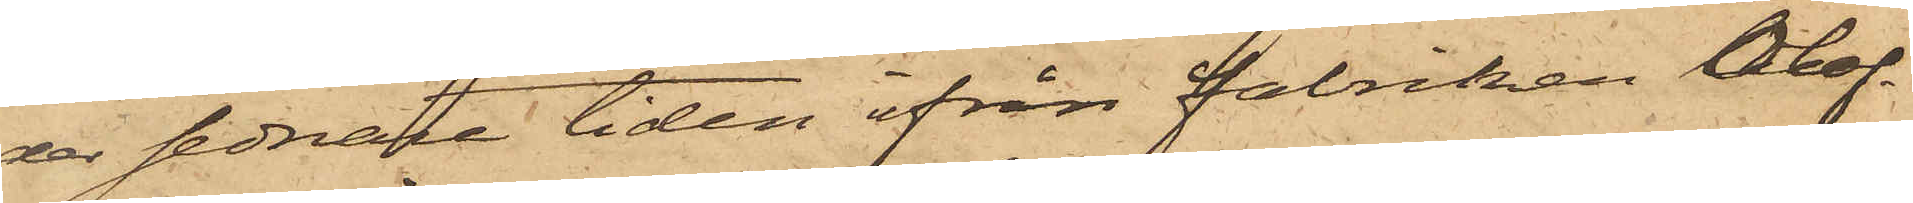der sednare tiden ifrån fabriken Olof¬
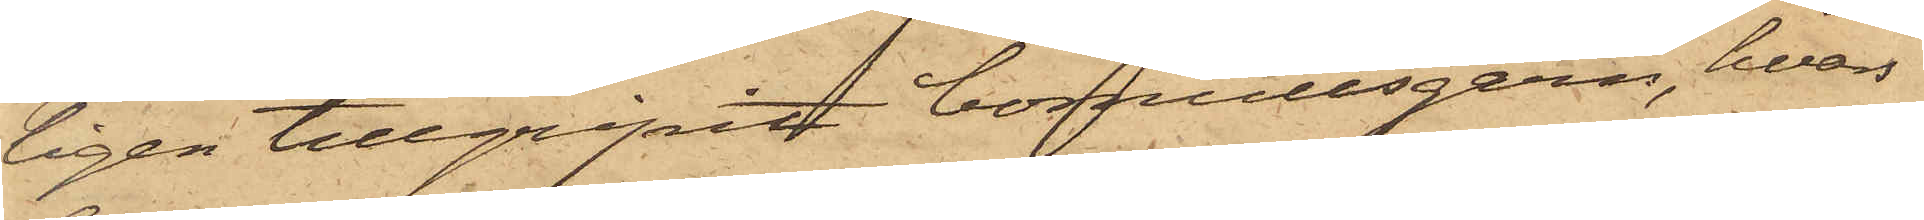ligen tillgripit bomullsgarn, hvars
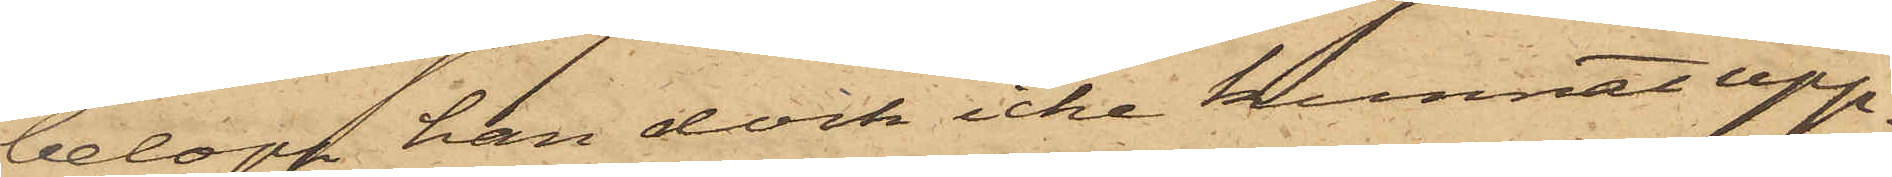belopp han dock icke kunnat upp¬
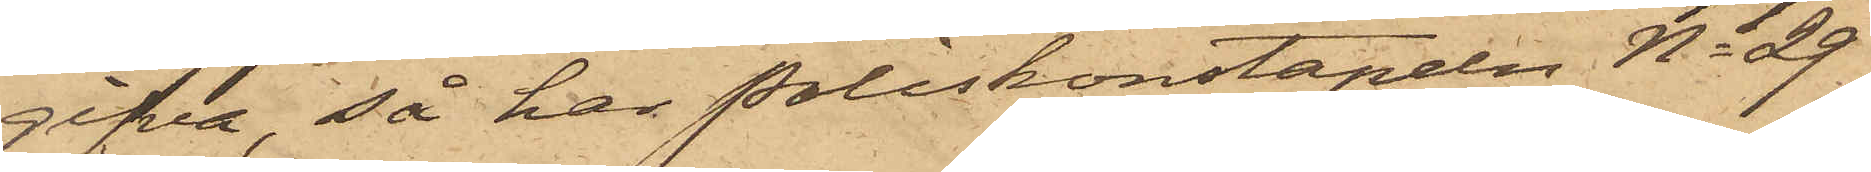gifva, så har Poliskonstapeln No 29
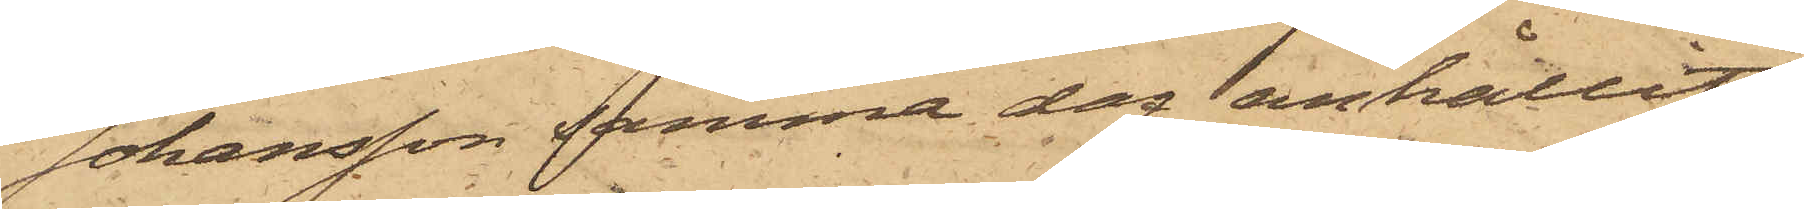Johansson samma dag anhållit
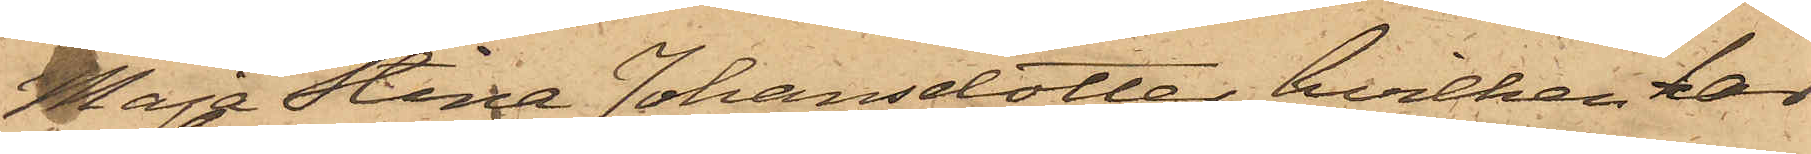Maja Stina Johansdotter, hvilken här
